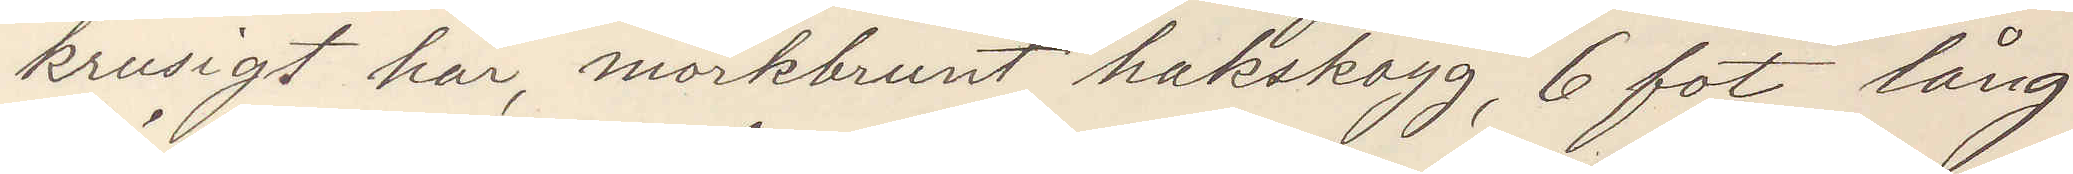krusigt hår, mörkbrunt hakskägg, 6 fot lång
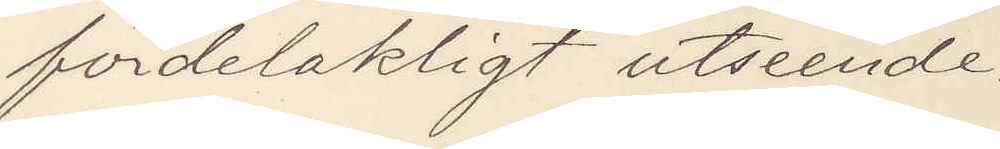fördelaktigt utseende.
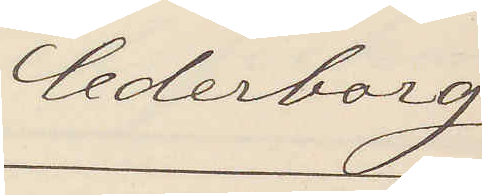Cederborg
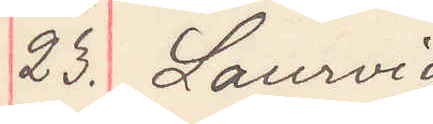23. Laurvig
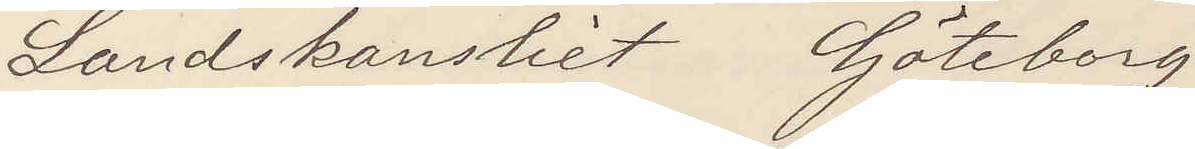Landskansliet Göteborg
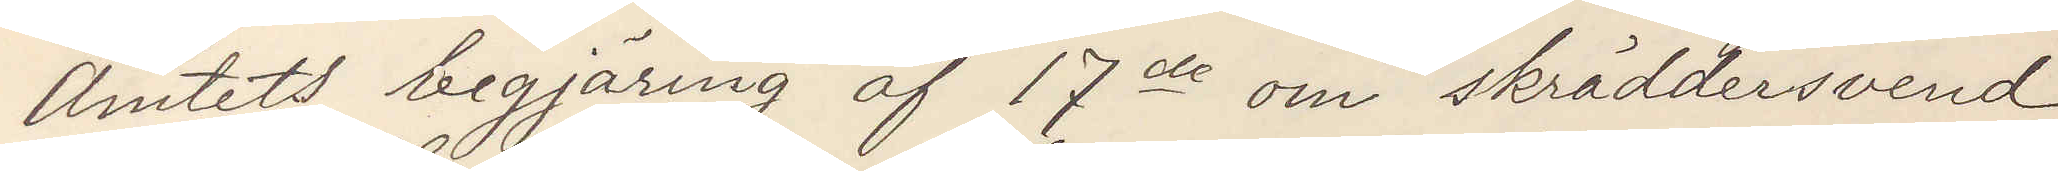Amtets begjäring af 17de om skräddersvend
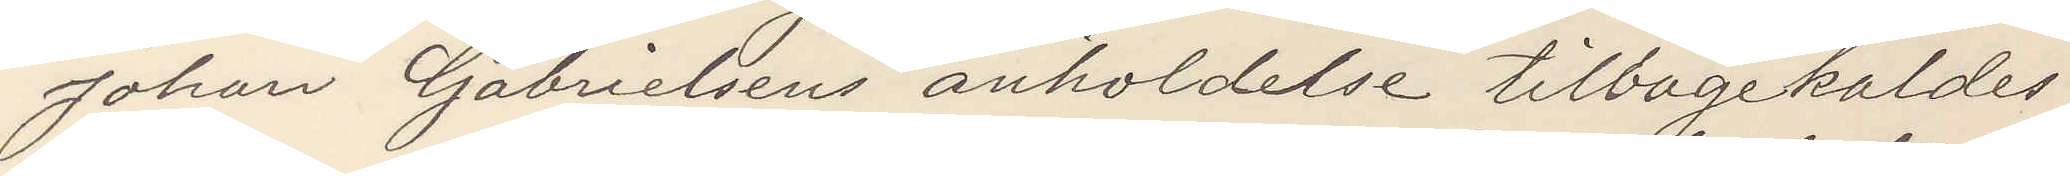Johan Gabrielssons anholdelse tillbagekaldes.
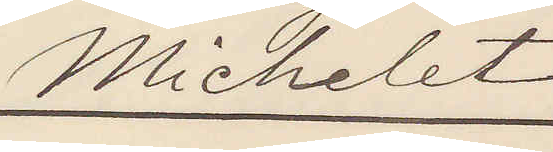Michelet
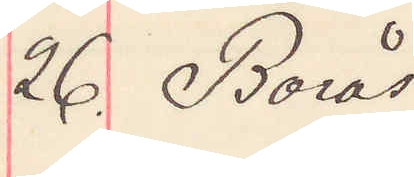26. Borås
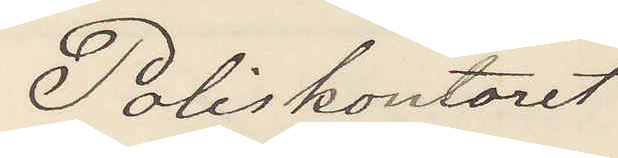Poliskontoret 
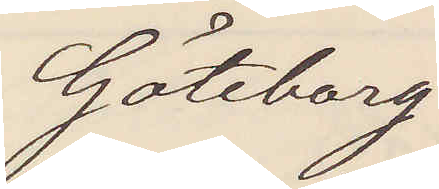Göteborg
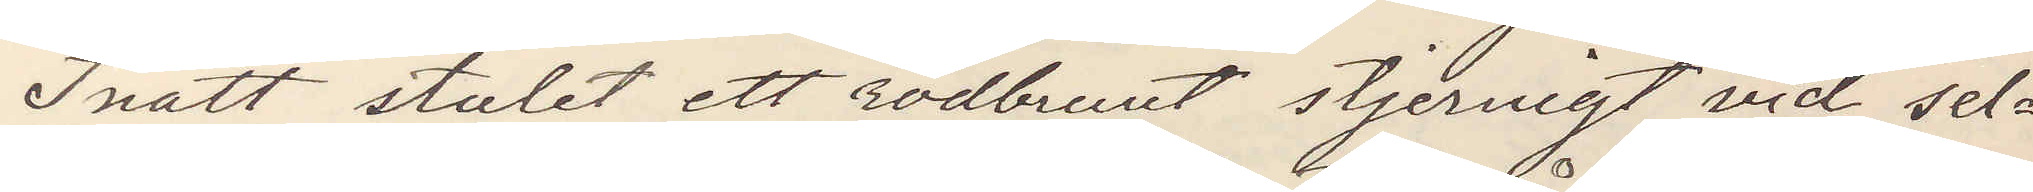Inatt stulet ett rödbrunt stjernigt vid sel¬
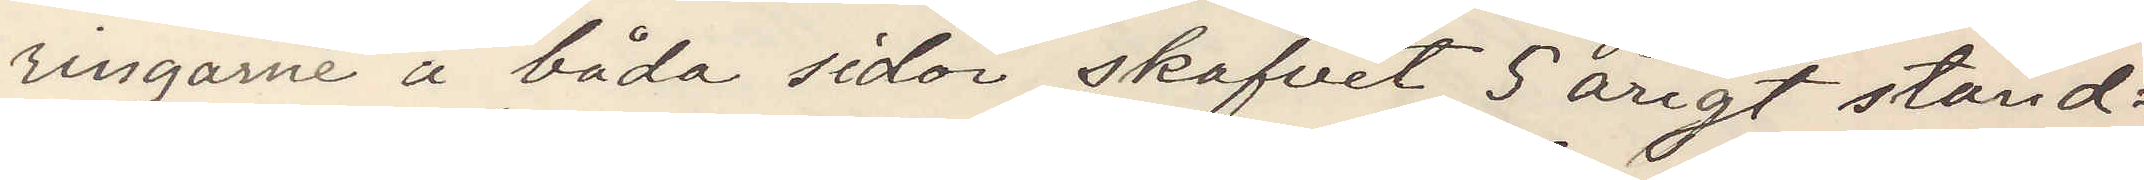ringarne å båda sidor skafvet 5 årigt stånd¬
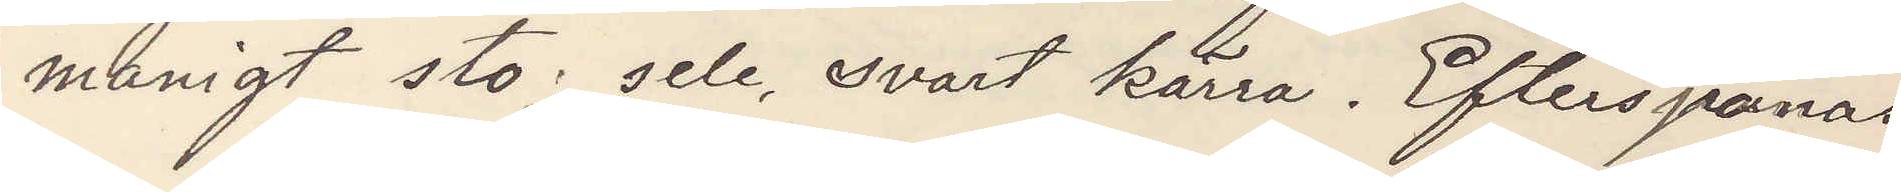manigt sto, sele, svart kärra. Efterspanas
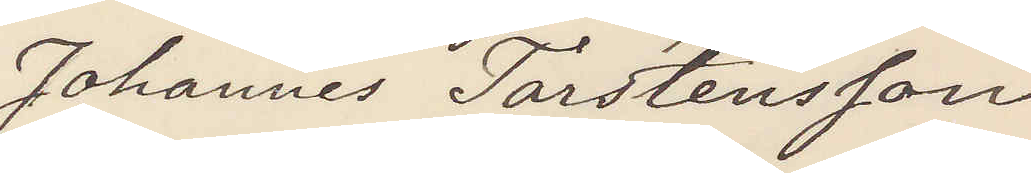Johannes Torstensson
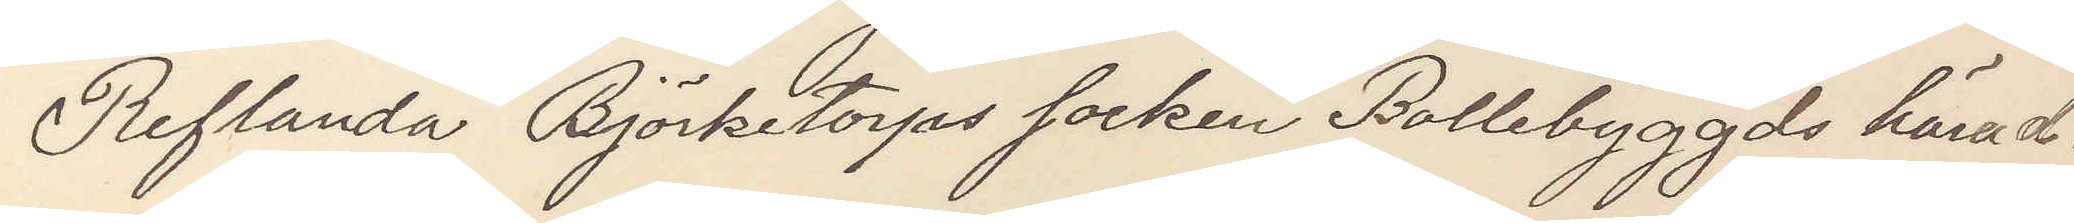Reflanda Björketorps socken Bollebyggds härad.
